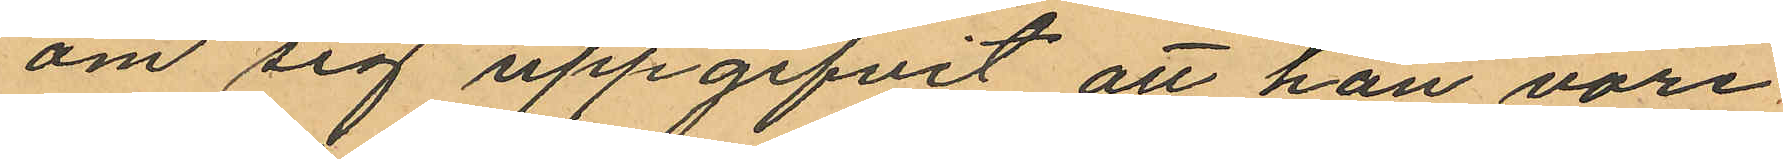om sig uppgifvit att han vore
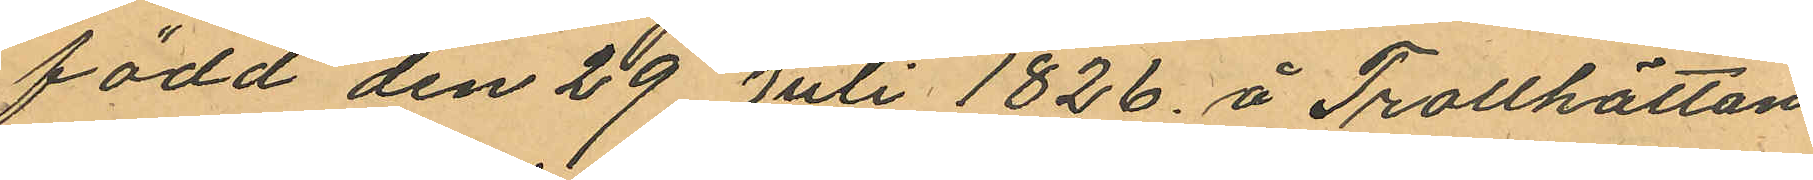född den 29 Juli 1826. å Trollhättan
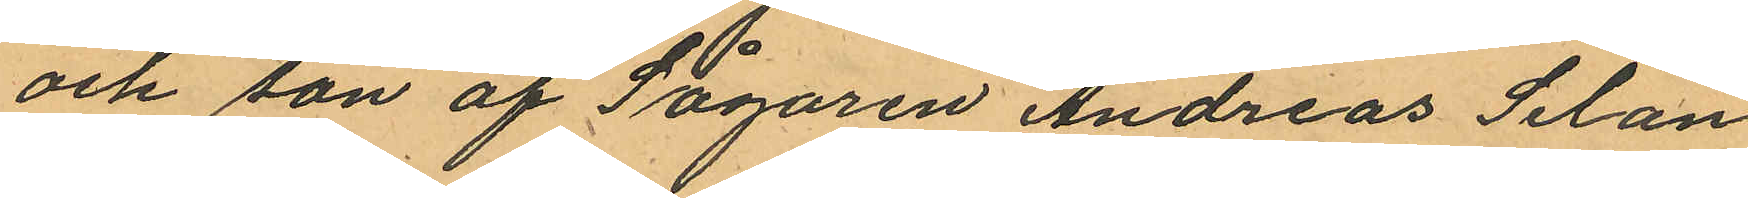och son af Sågaren Andreas Selan¬
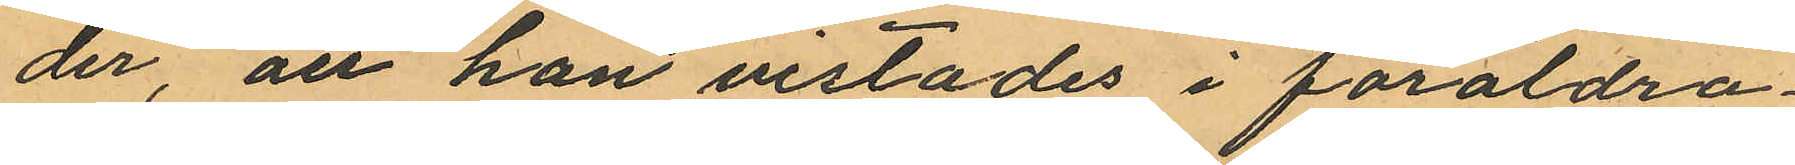der, att han vistades i föräldra¬
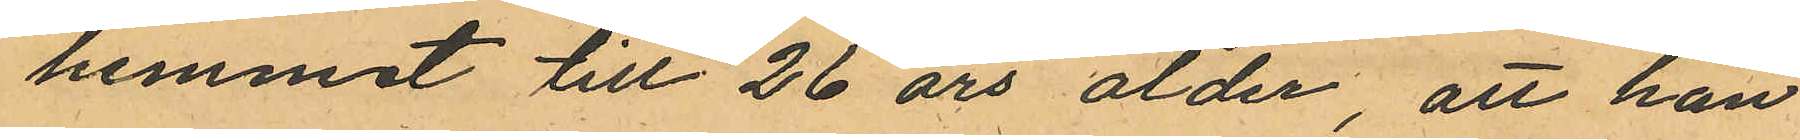hemmet till 26 års ålder, att han
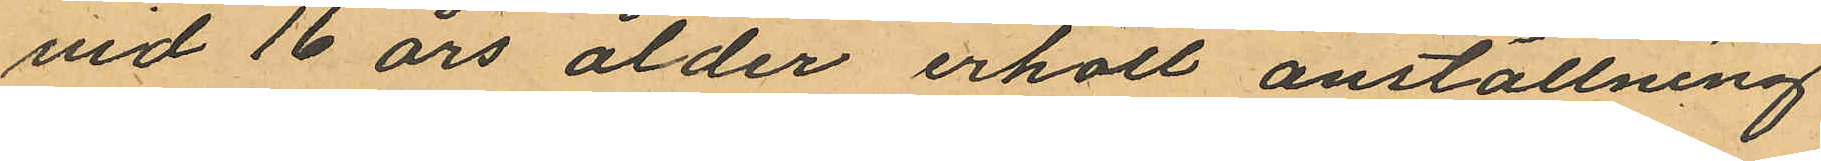vid 16 års ålder erhöll anställning
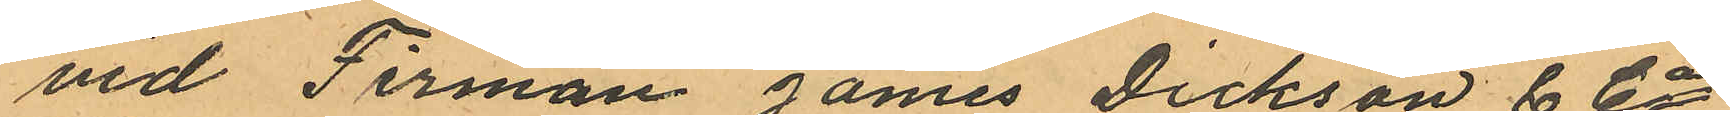vid Firman James Dickson & Cos
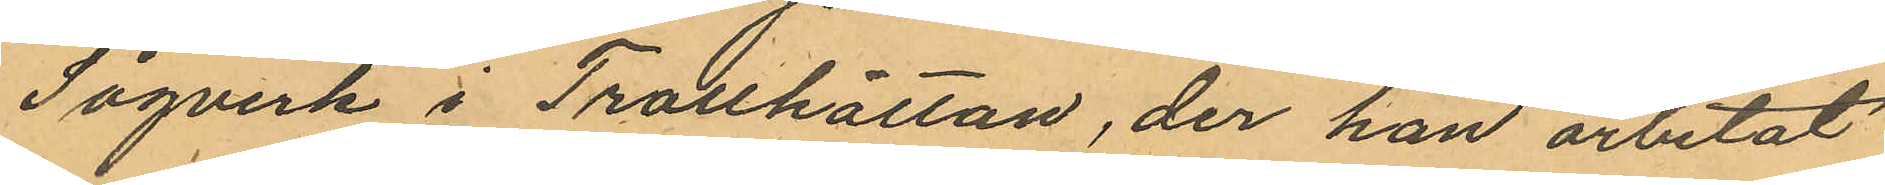Sågverk i Trollhättan, der han arbetat
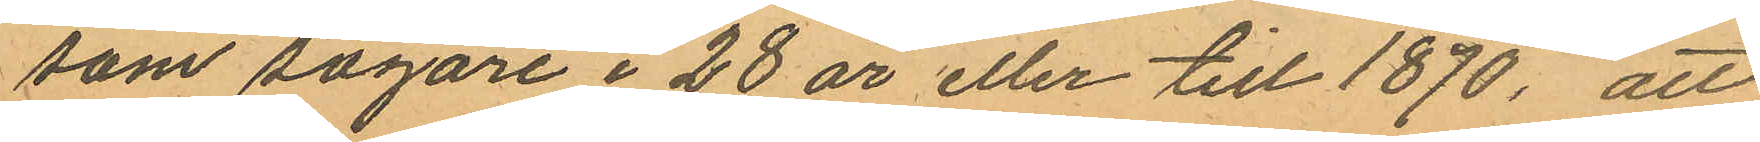som sågare i 28 år eller till 1870, att
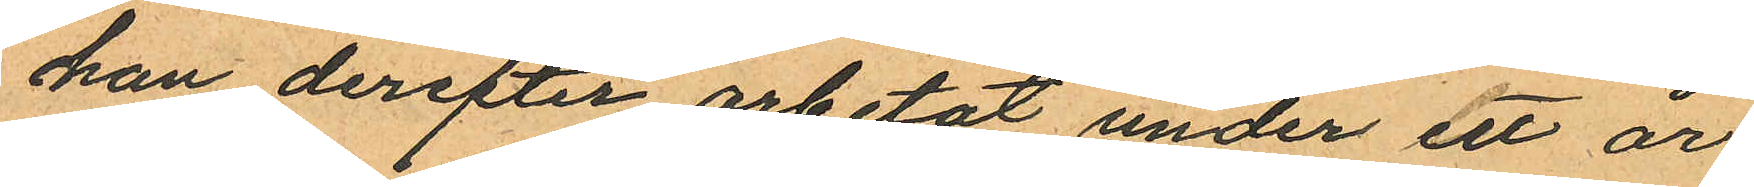han derefter arbetat under ett år
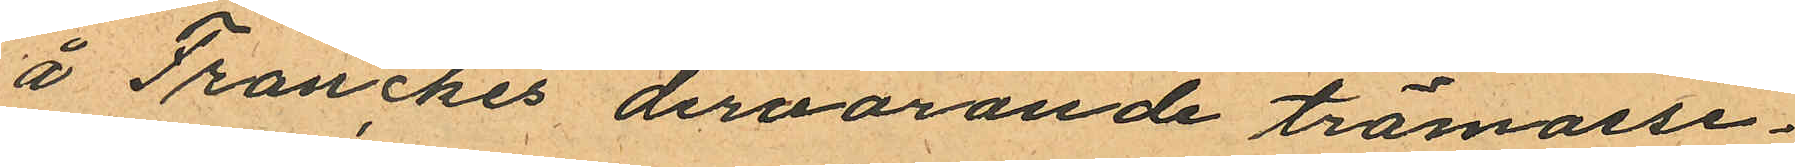å Franckes dervarande trämasse¬
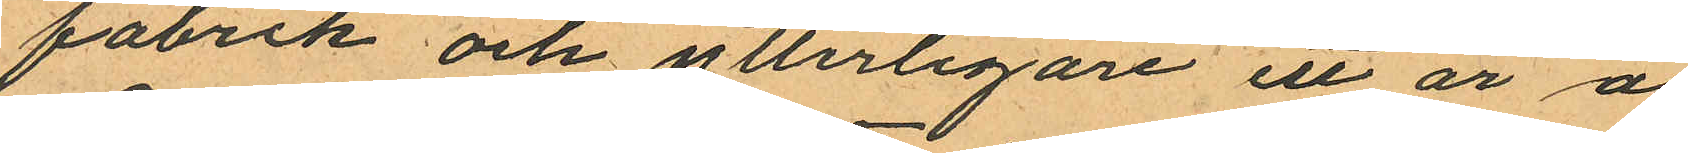fabrik och ytterligare ett år å
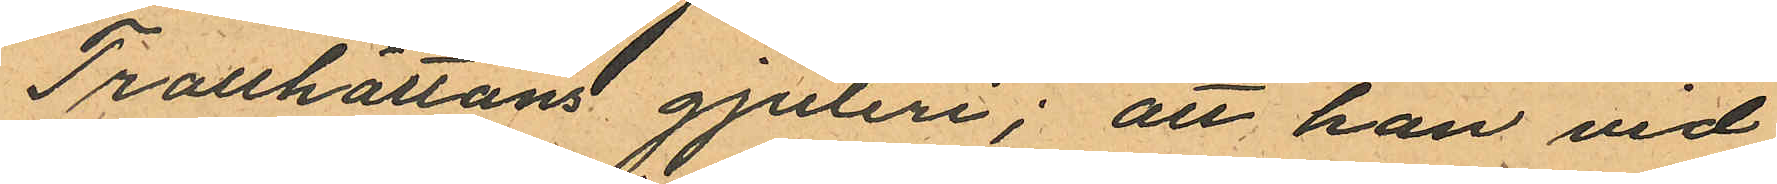Trollhättans gjuteri; att han vid
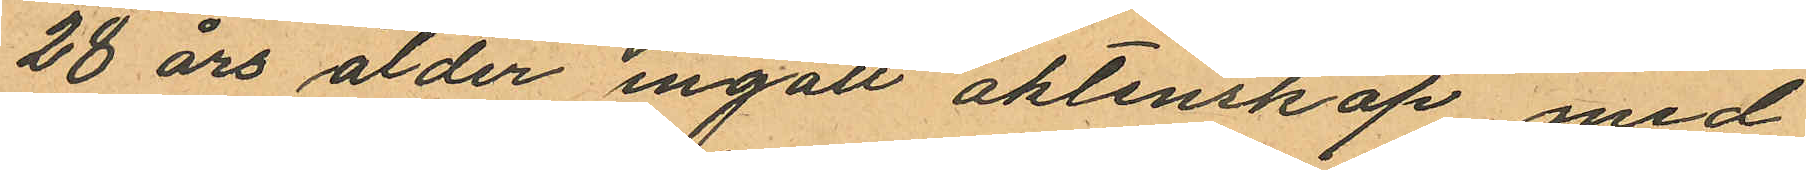28 års ålder ingått aktenskap med
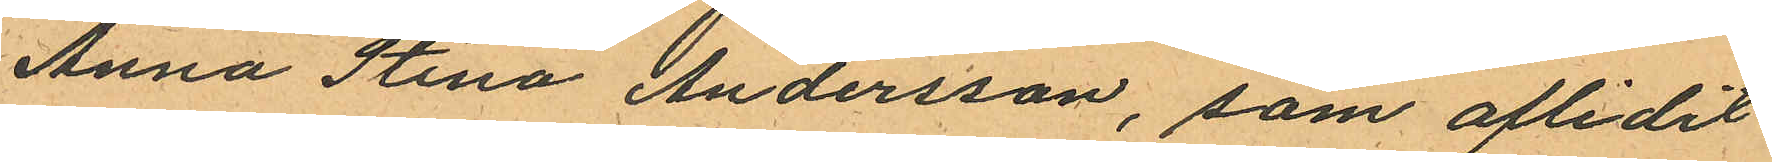Anna Stina Andersson, som aflidit
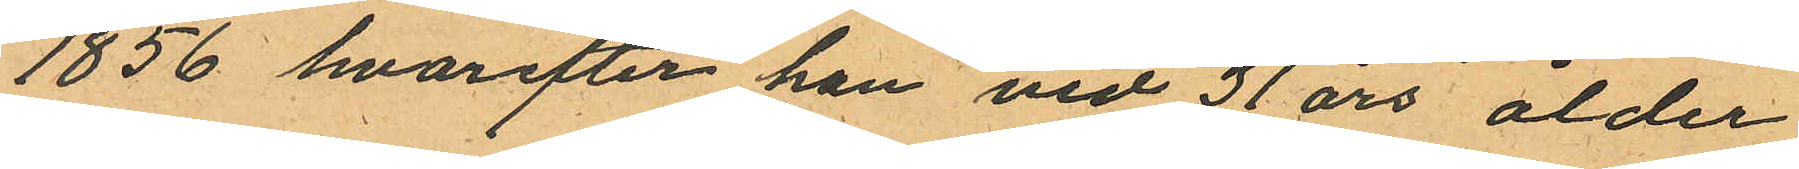1856, hvarefter han vid 31 års ålder
